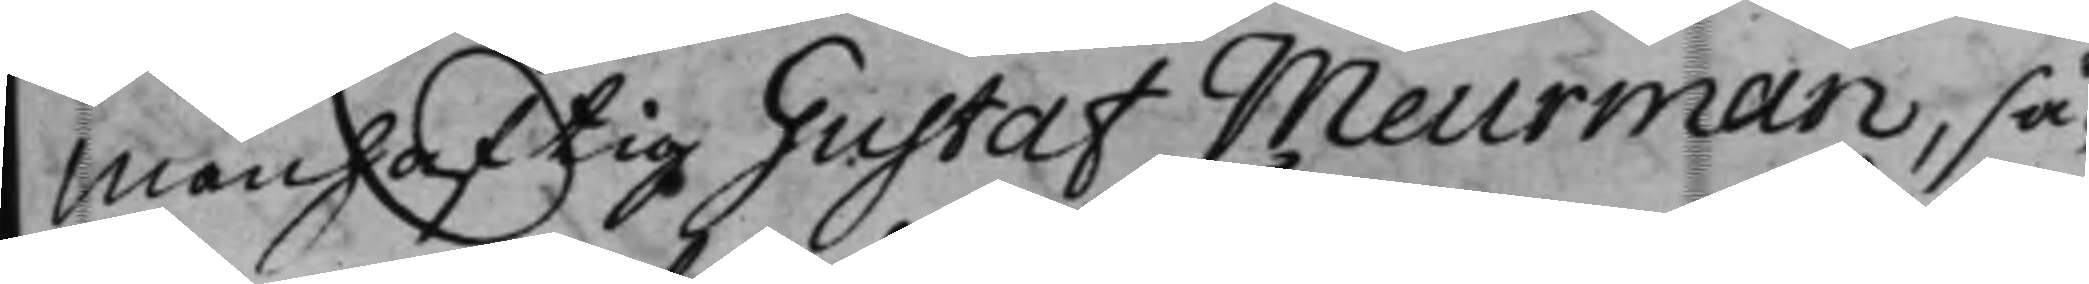Manhaftig Gustaf Meurman, så¬
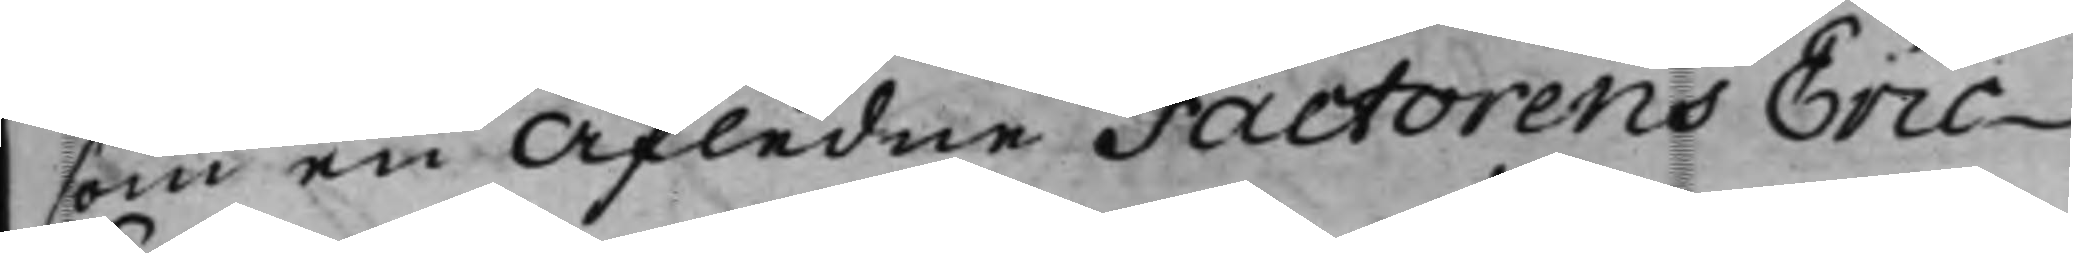som en afledne Factorens Eric
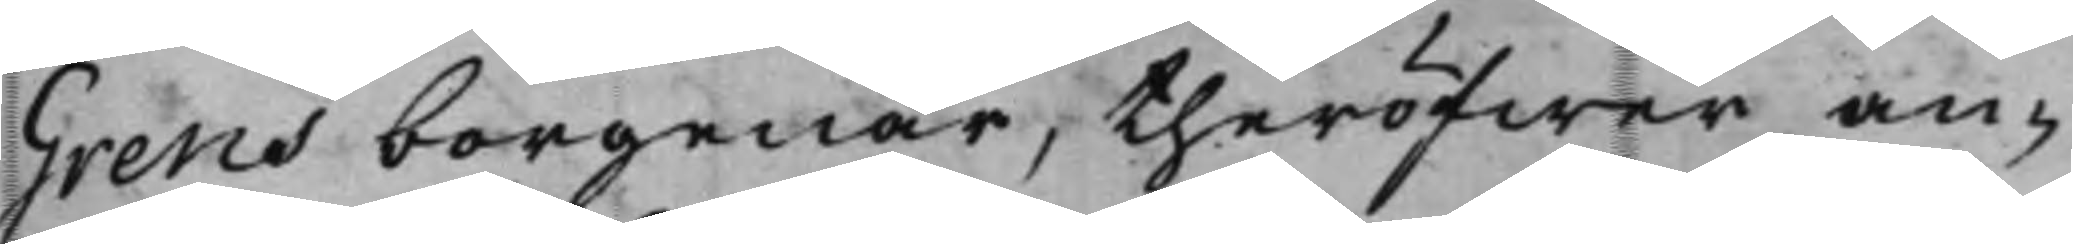Grens borgenär, theröfwer an¬
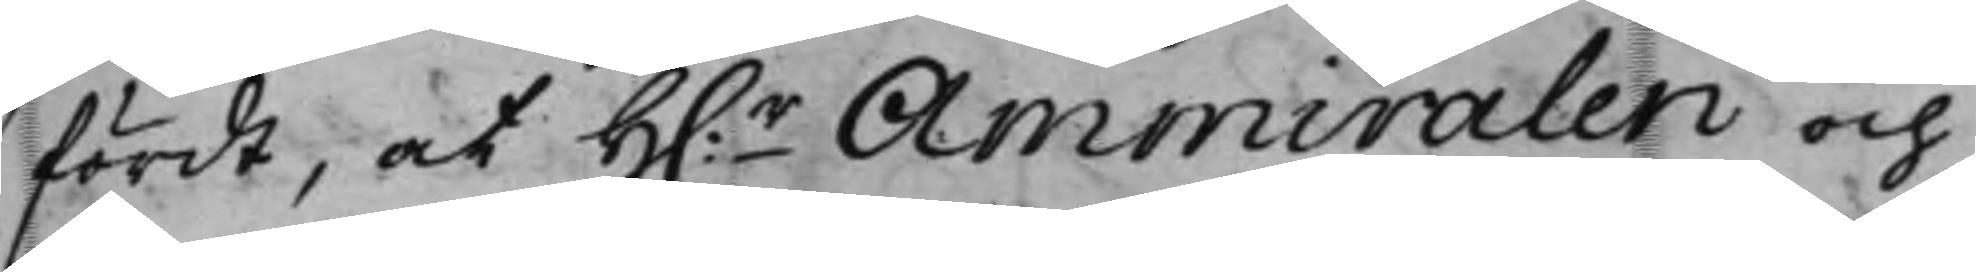fördt, at H.r Ammiralen och
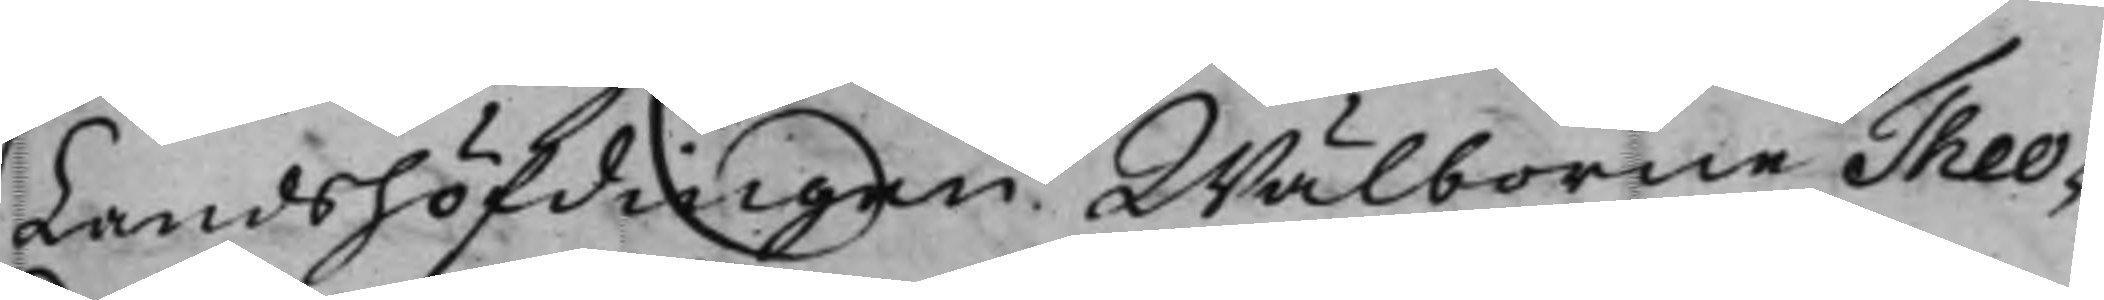Landshöfdingen Wälborne Theo¬
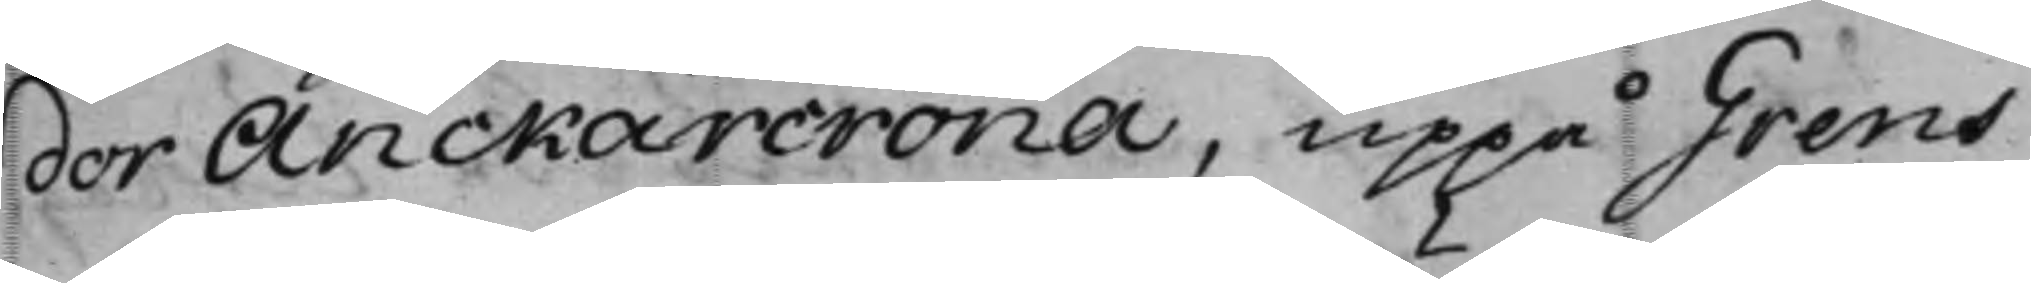dor Anckarcrona, uppå Grens
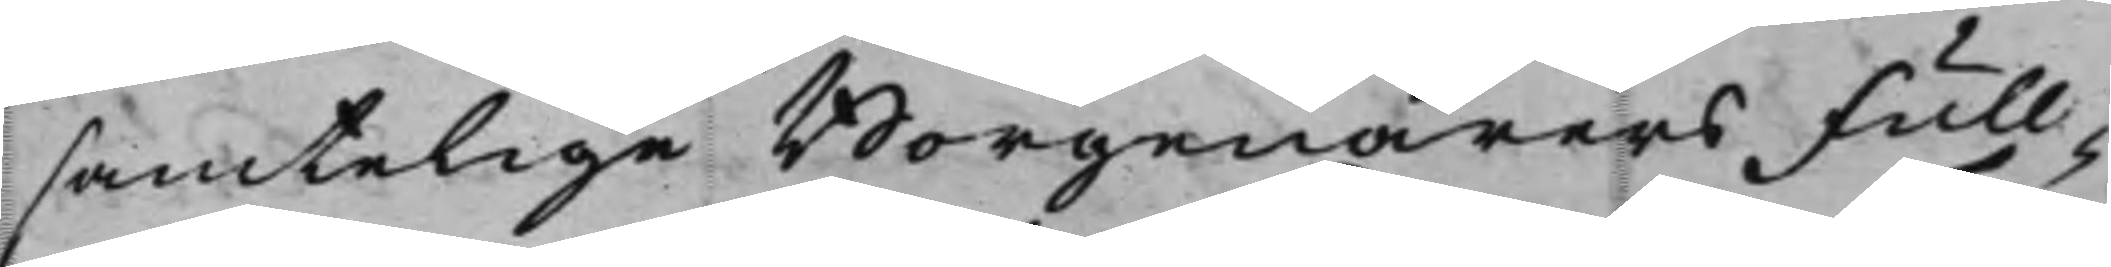samtelige Borgenärers Full¬
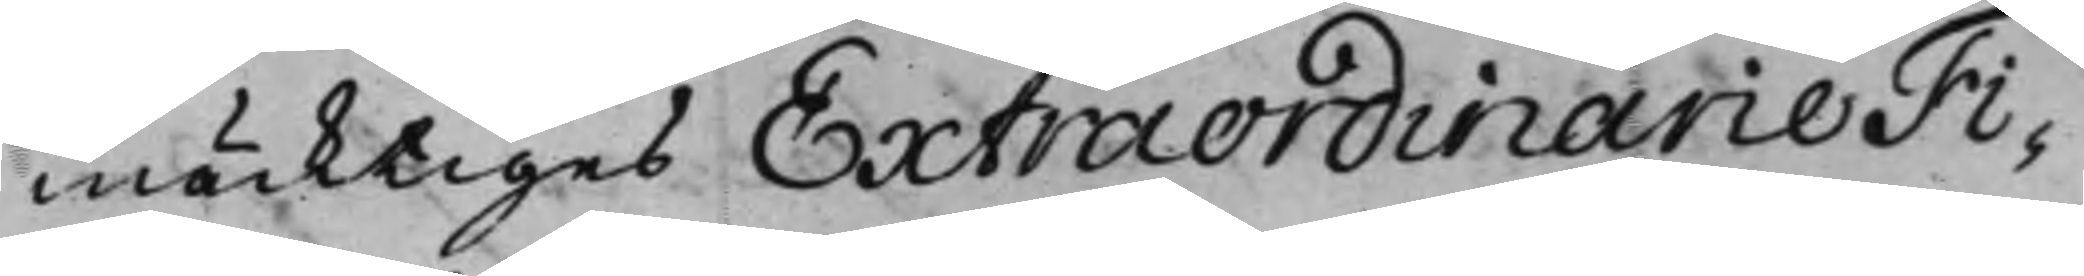mäcktiges Extraordinarie Fi¬
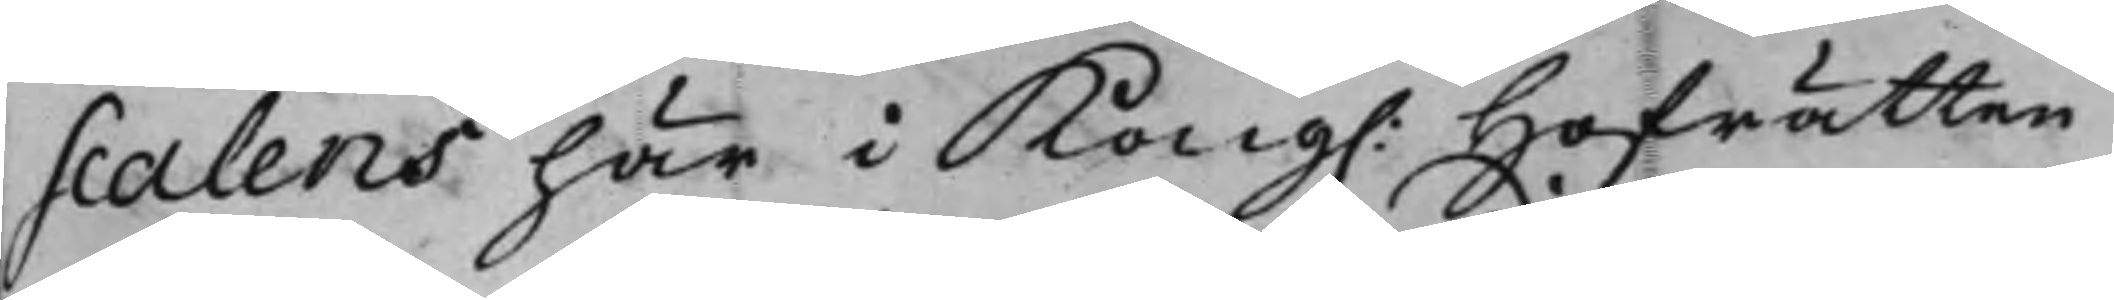scalens här i Kong. Hofrätten
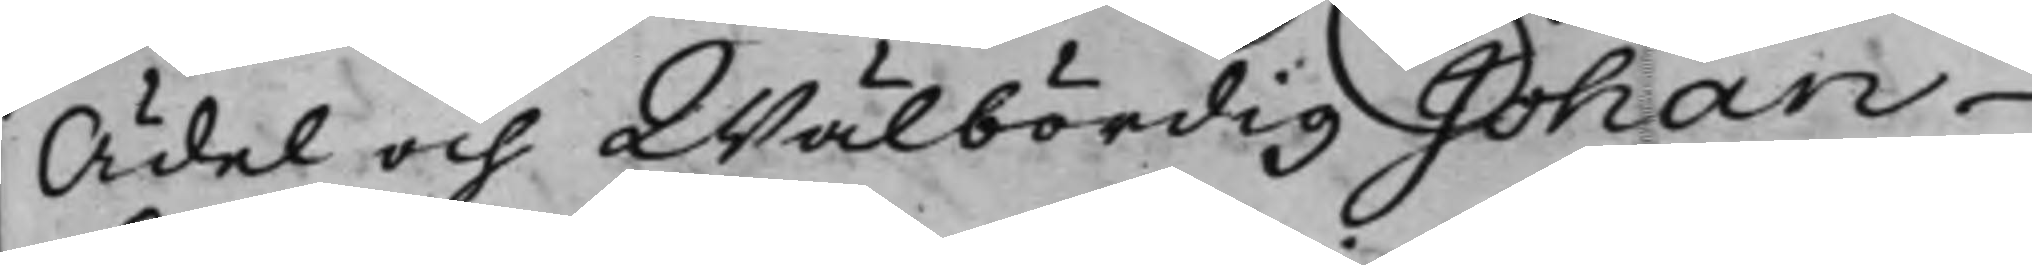Ädel och Wälbördig Johan
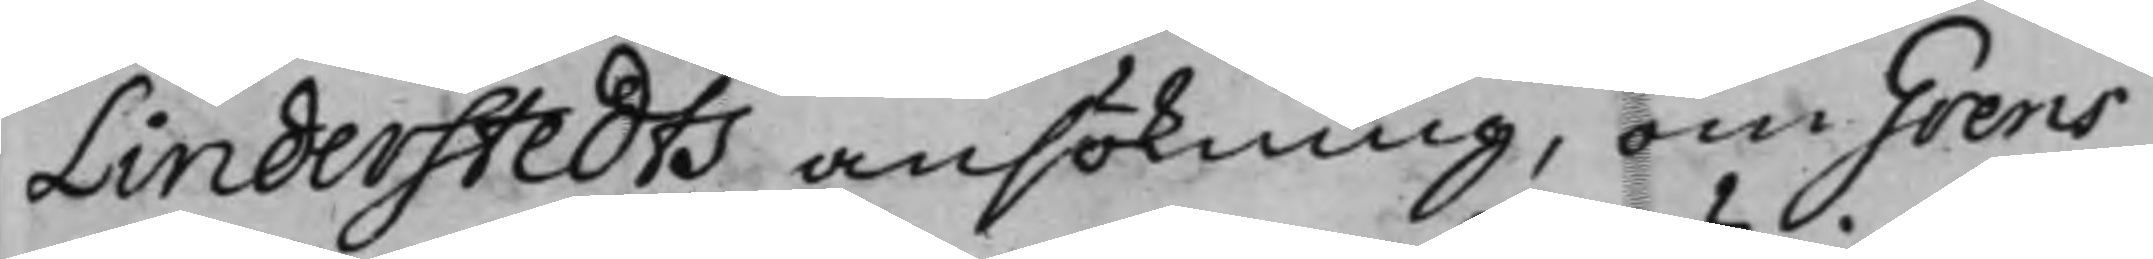Linderstedts ansökning, om Grens
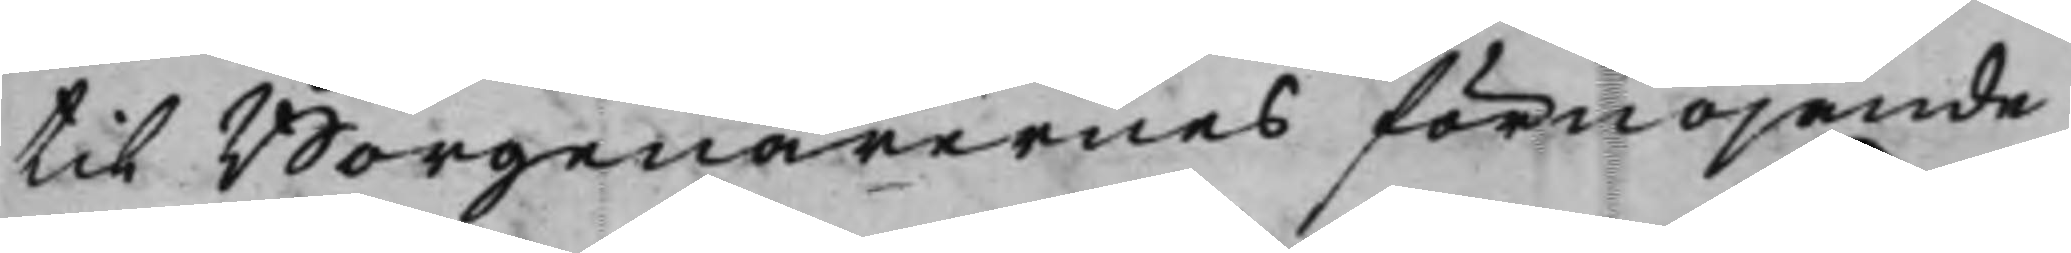til Borgenärernas förnöjande
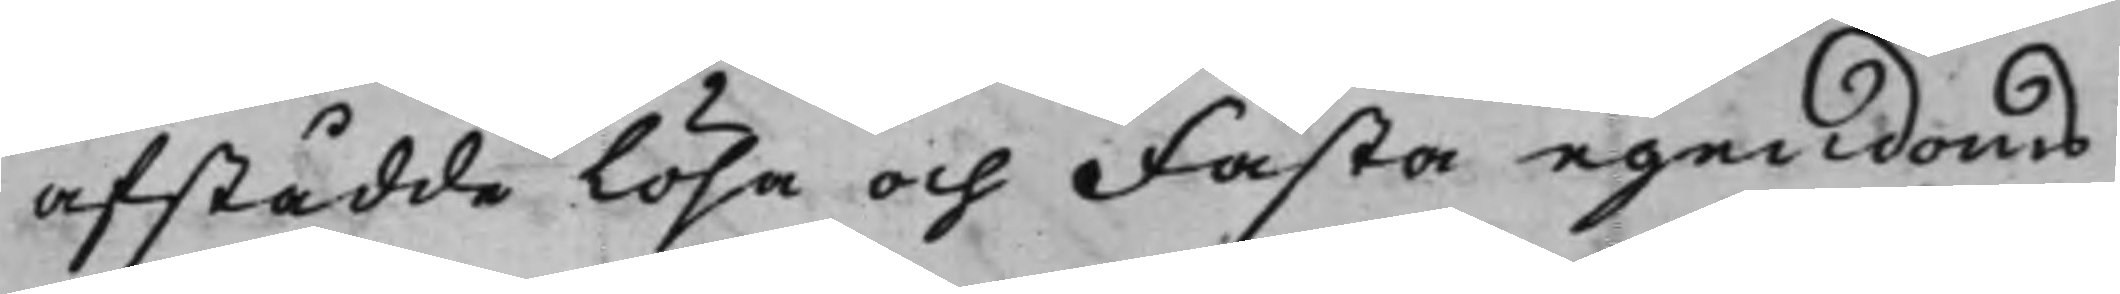afstådde Lösa och Fasta egendoms
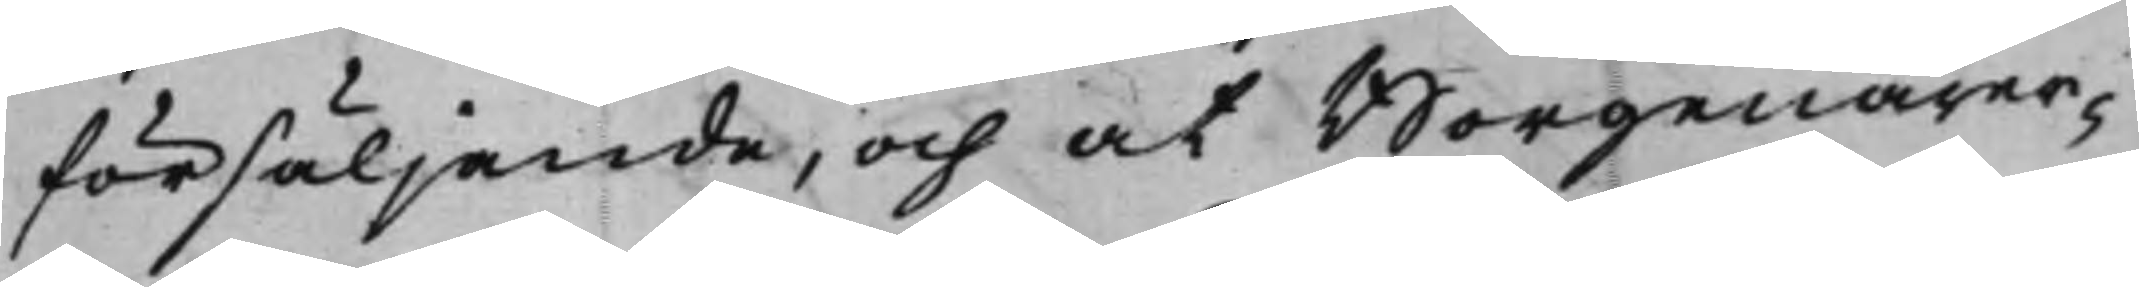försäljande, och at Borgenärer¬
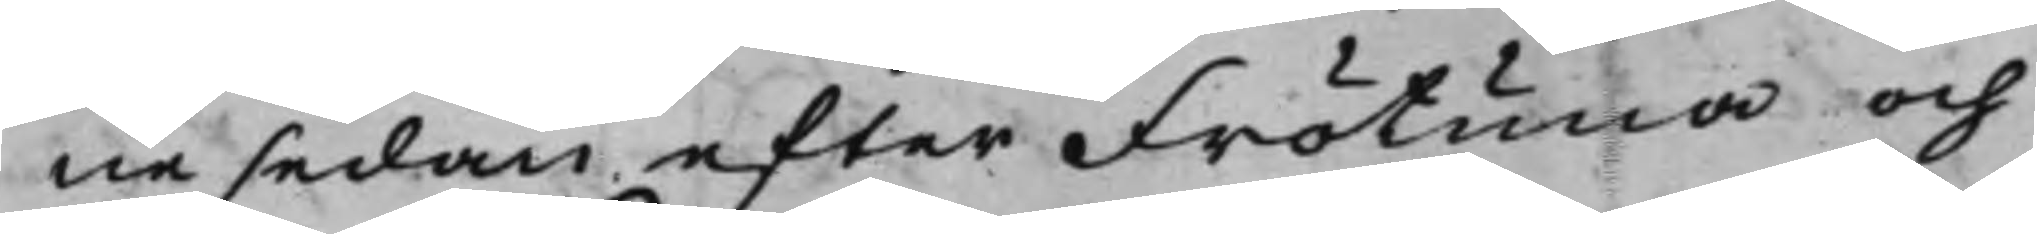ne sedan efter Frötuna och
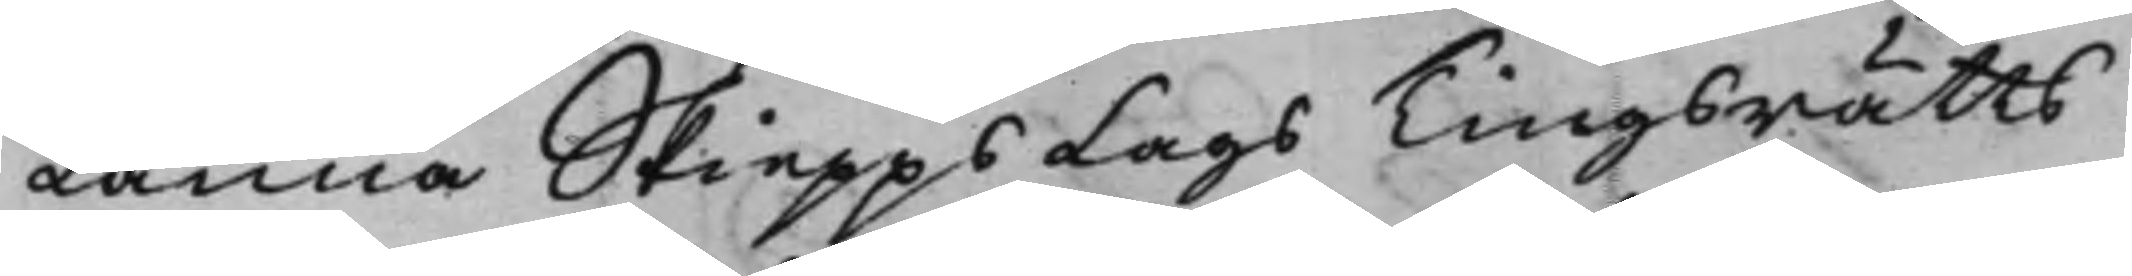Länna SkieppsLags Tingsrätts
